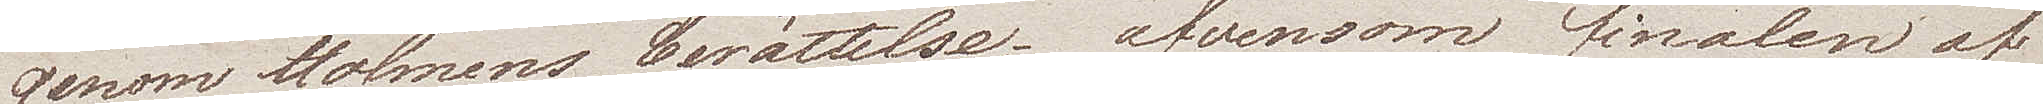genom Holmens berättelse; äfvensom finalen af
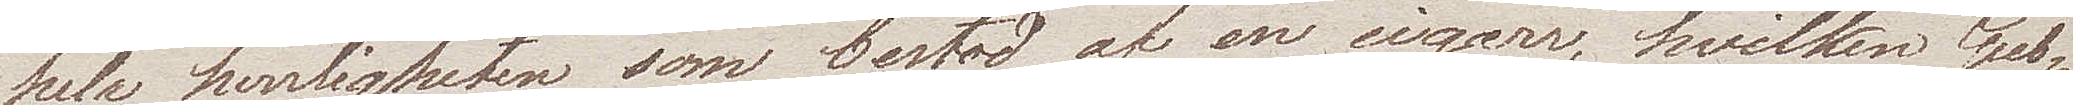hela herrligheten som bestod af en cigarr, hvilken Gub¬
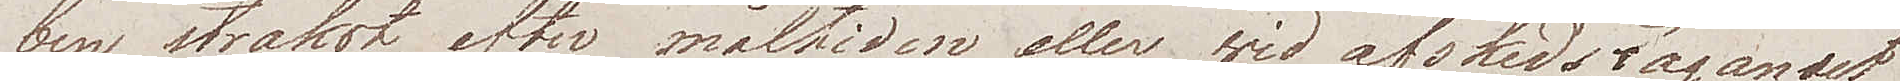ben straxt efter måltiden eller wid afskedstagandet
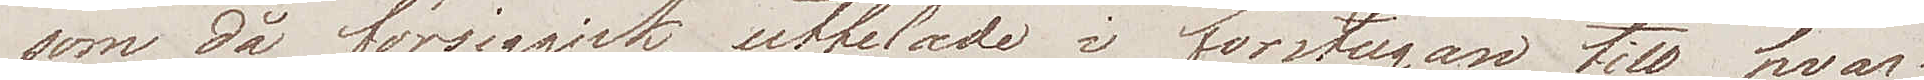som då  försiggick, utdelade i förstugan till hvar
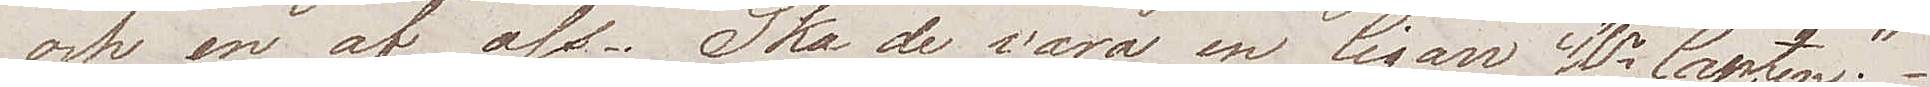och en af oss. "Ska de vara en Cigarr Hr Capten".
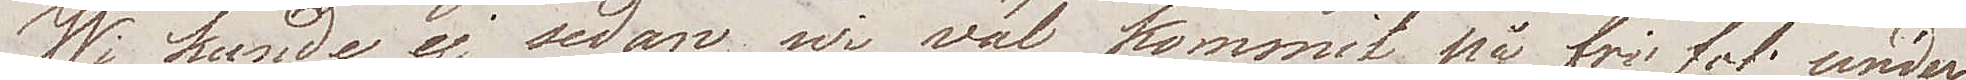Wi kunde ej sedan wi väl kommit på fri fot under¬
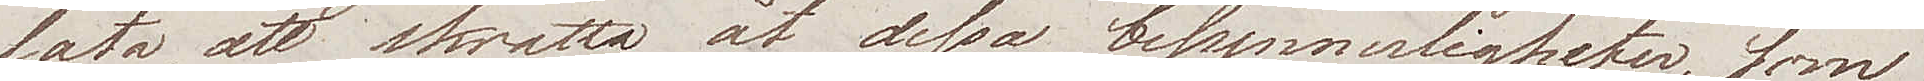låta, att skratta åt dessa besynnerligheter, som
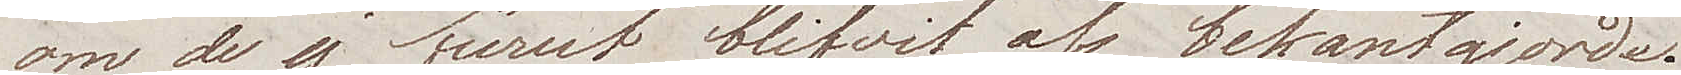om de ej förut blifvit oss bekantgjorda.
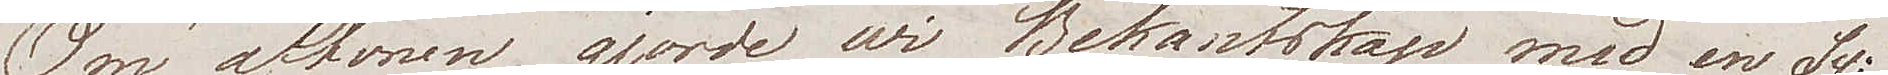Om aftonen gjorde wi Bekantskap med en Sv.
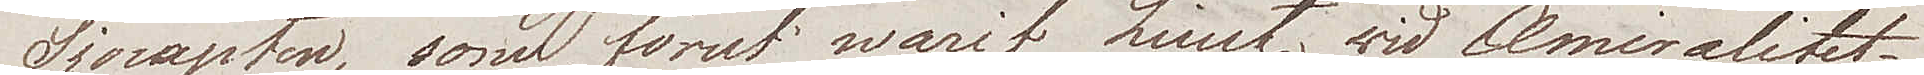Sjöcapten, som förut warit Lieutt vid Amiralitetet,
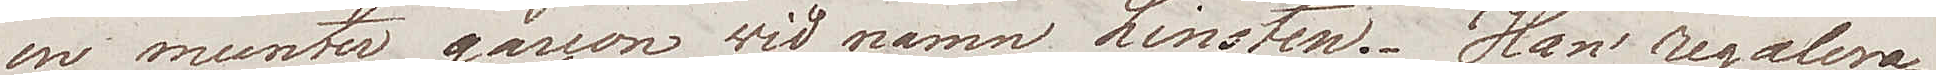en munter garcon wid namn Linsten. Han regalera¬
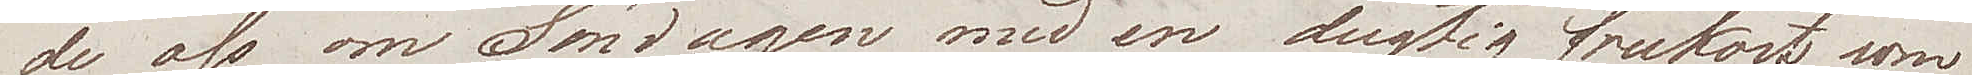de oss om Söndagen med en dugtig frukost som
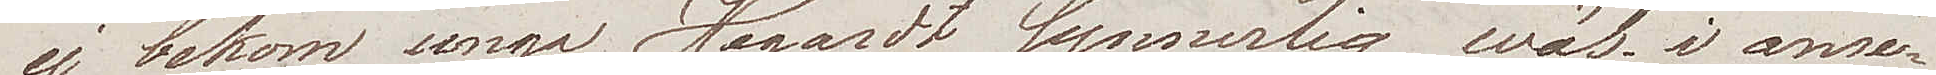ej bekom unga Hegardt synnerligen wäl i anse¬
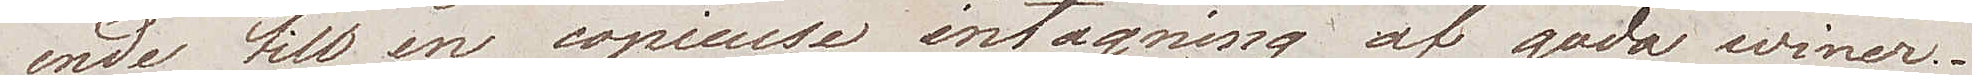ende till en copieuse intagning af goda winer.
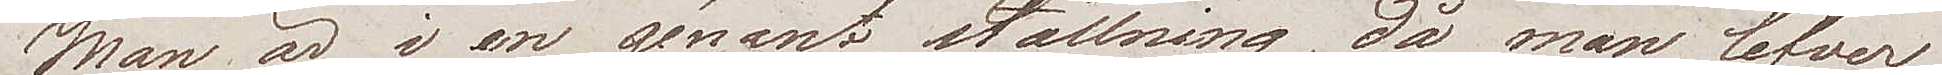Man är i en génant ställning, då man lefver
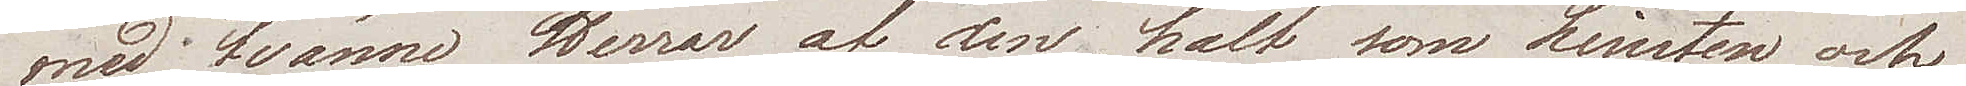med tvänne Herrar af den halt som Linsten och
